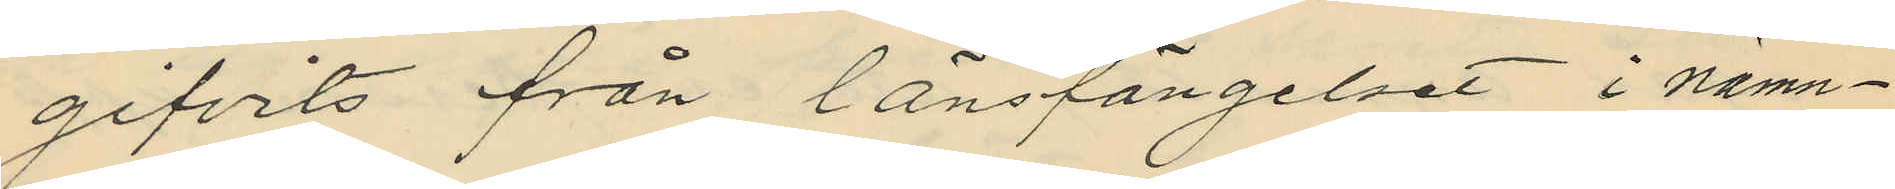gifvits från länsfängelset i nämn¬
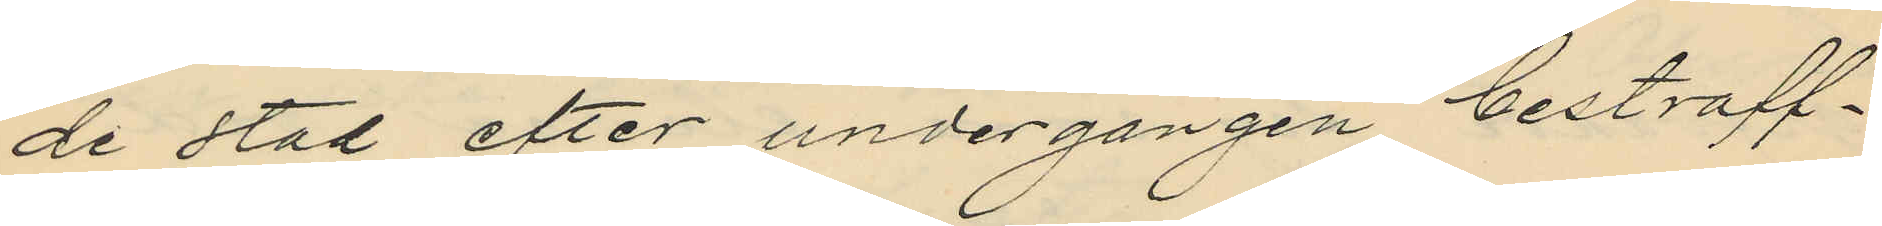de stad efter undergången bestraff¬
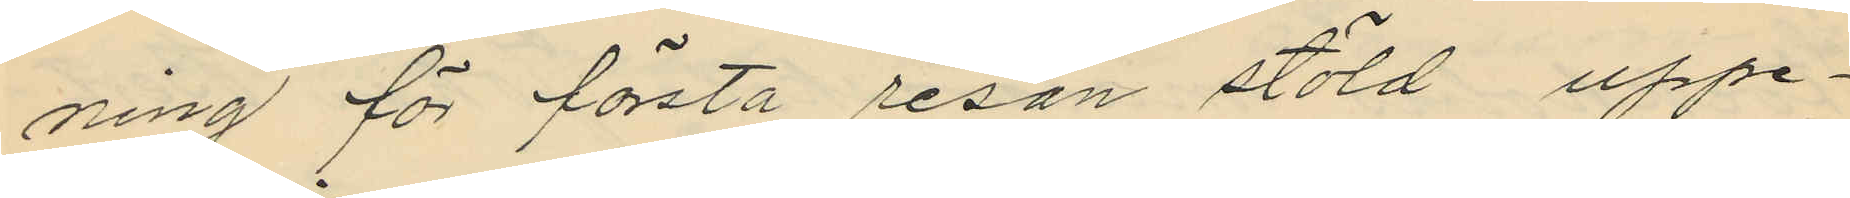ning för första resan stöld uppe¬
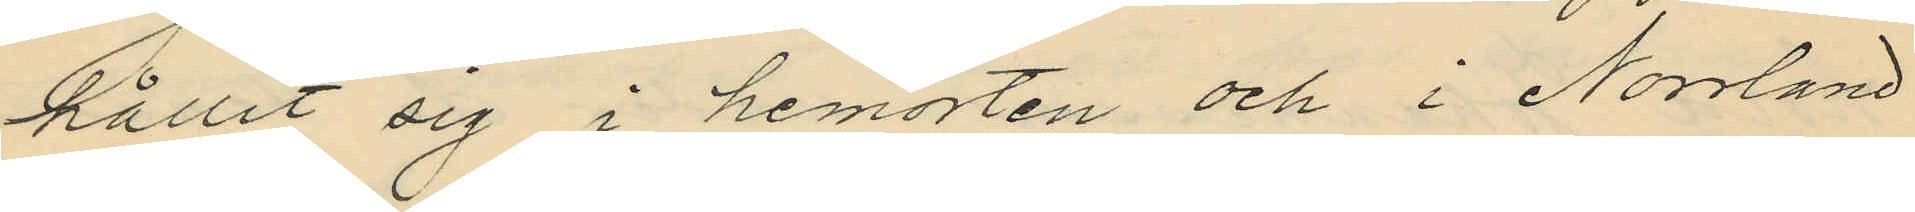hållit sig i hemorten och i Norrland
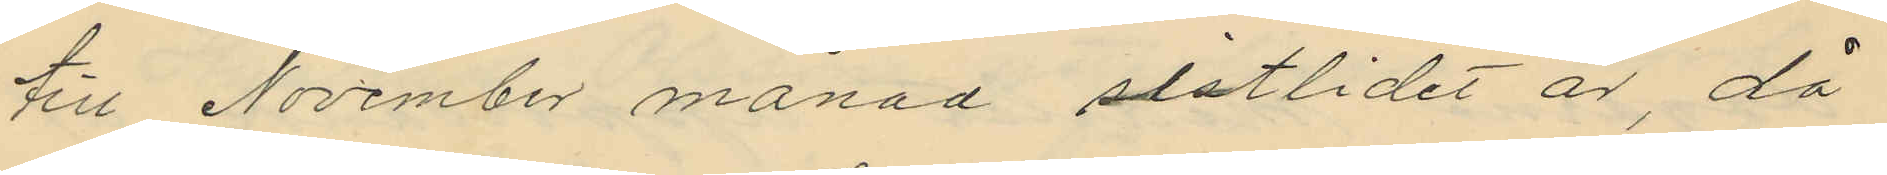till November månad sistlidet år, då
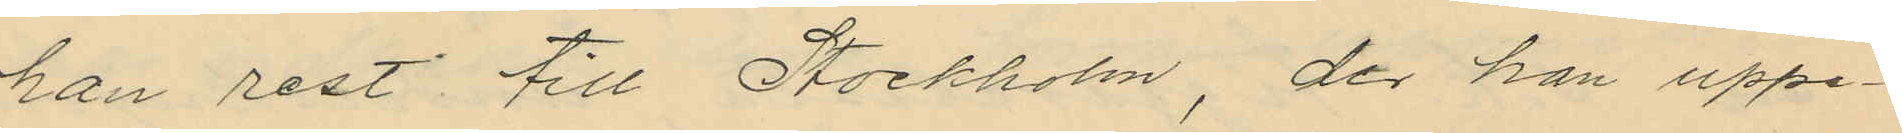han rest till Stockholm, der han uppe¬
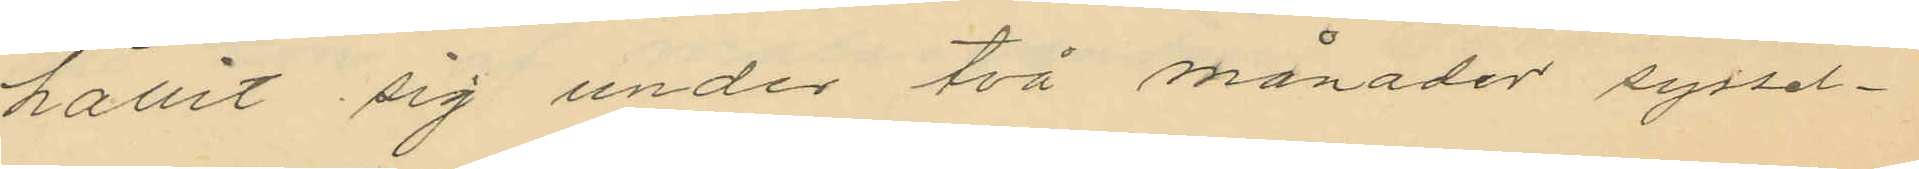hållit sig under två månader syssel¬
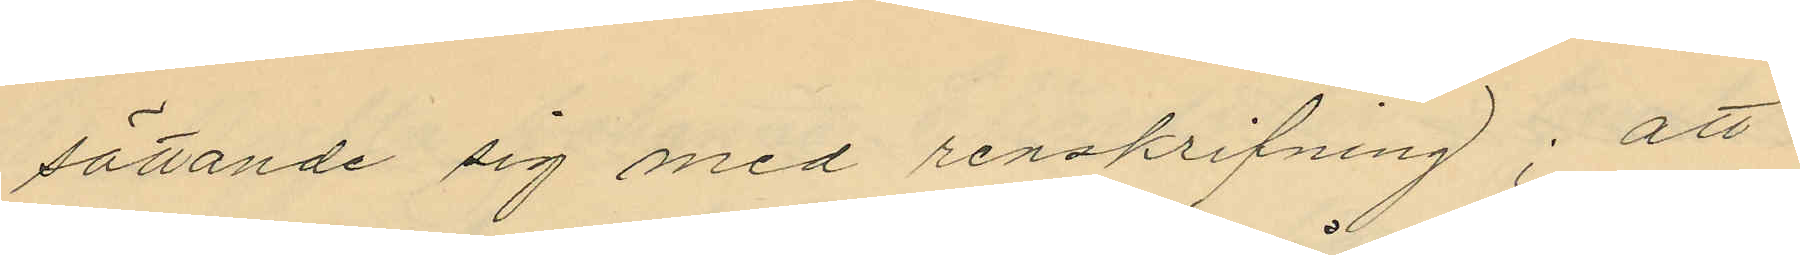sättande sig med renskrifning; att
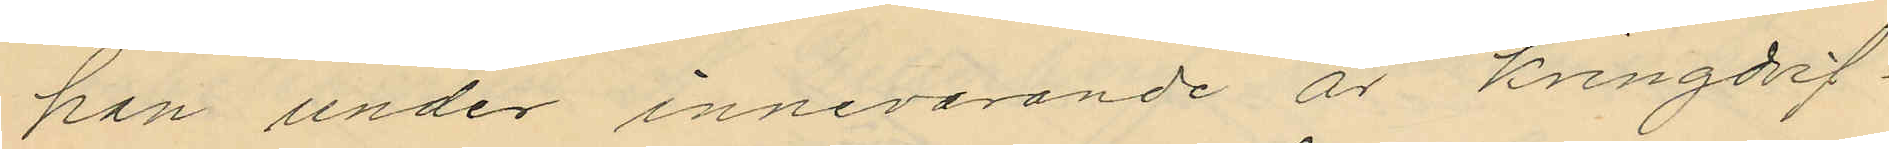han under innevarande år kringdrif¬
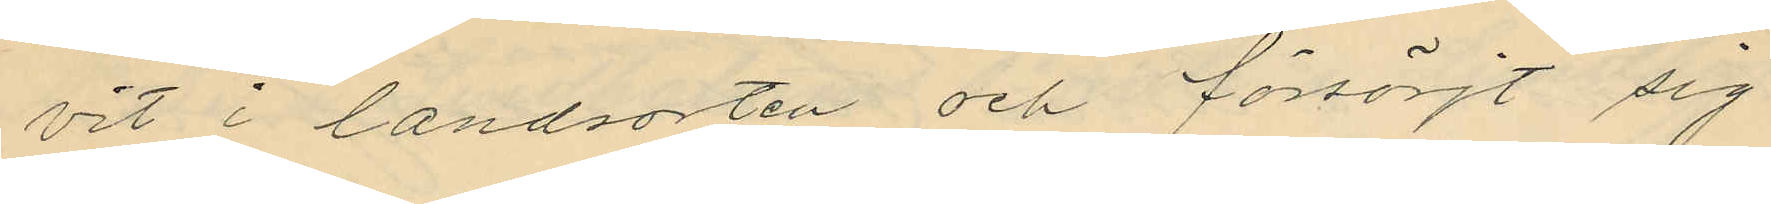vit i landsorten och försörjt sig
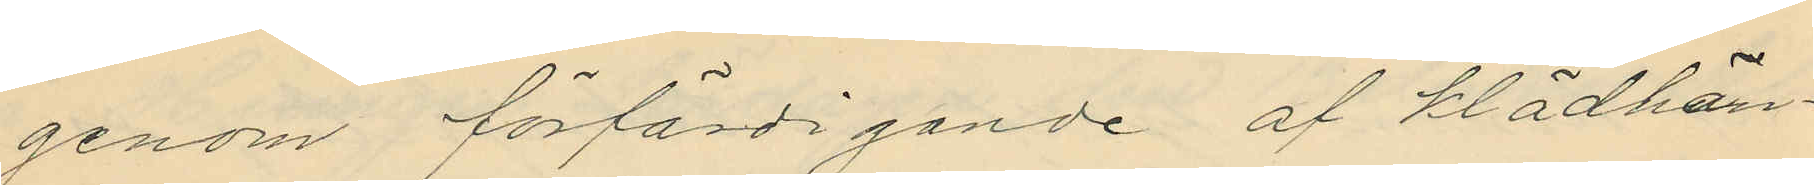genom förfärdigande af klädhän¬
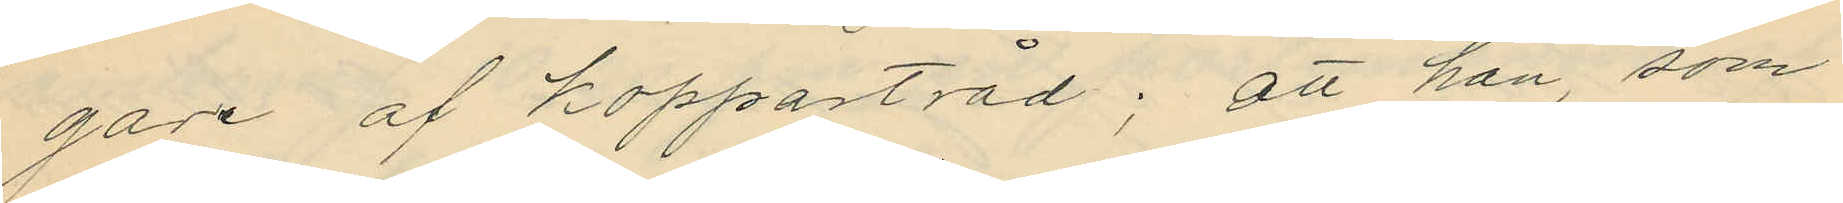gare af koppartråd; att han, som
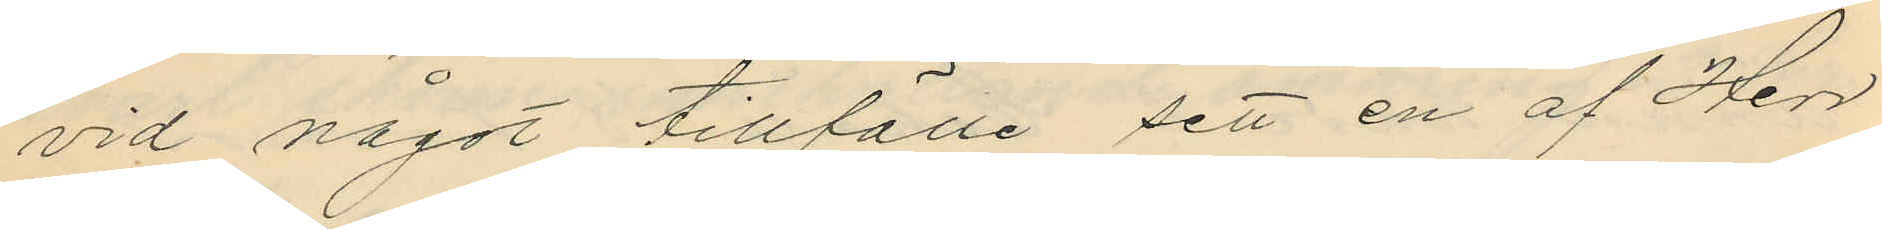vid något tillfälle sett en af Herr¬
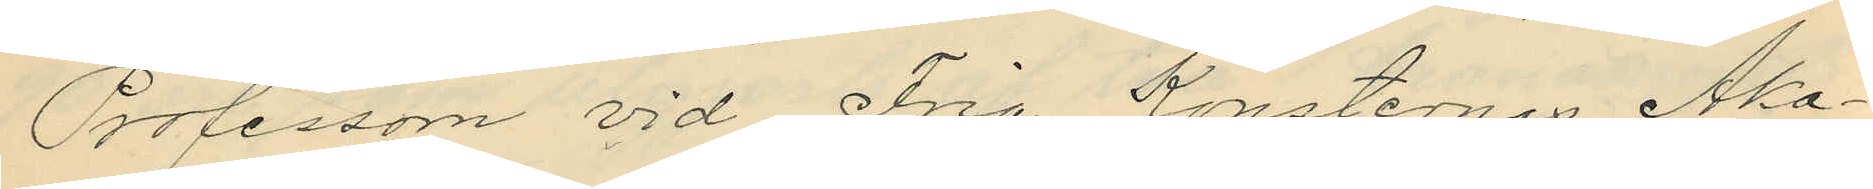Professorn vid Fria Konsternas Aka¬
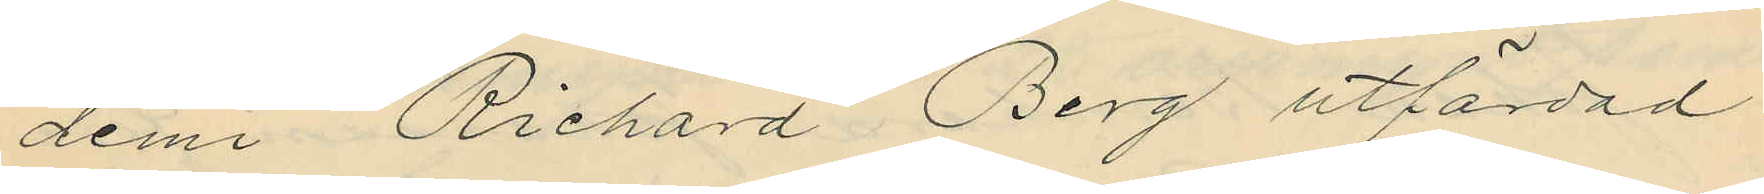demi Richard Berg utfärdad
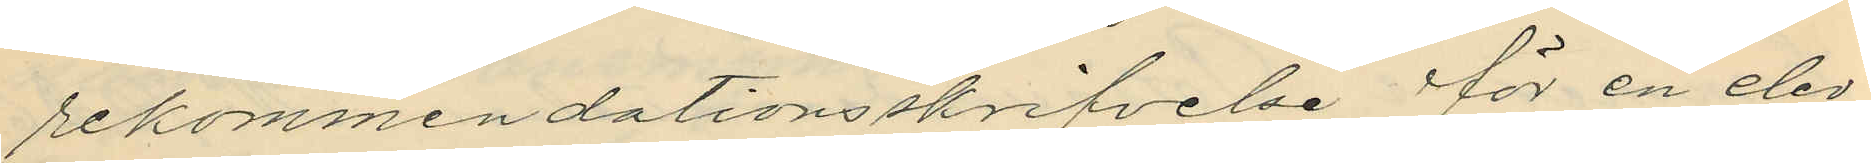rekommendationsskrifvelse för en elev
